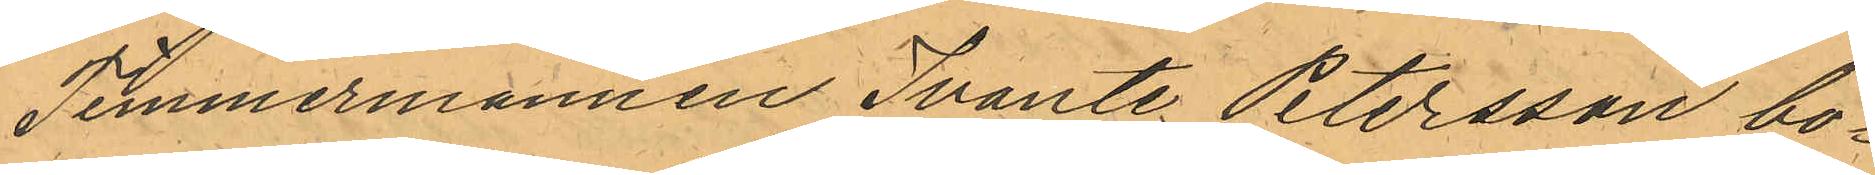Timmermannen Svante Petersson bo¬
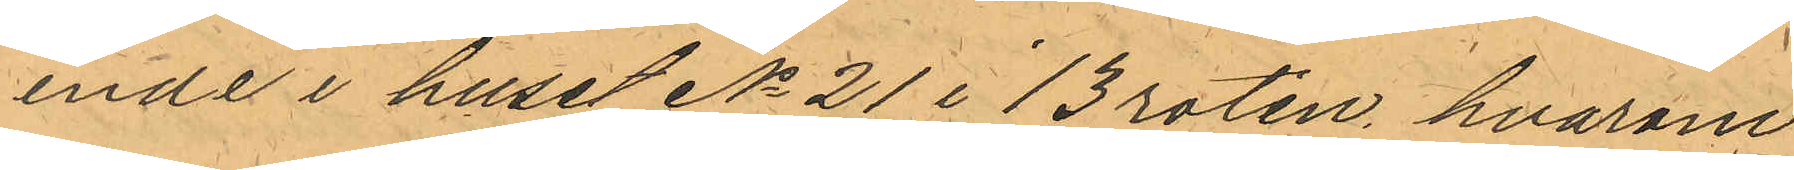ende i huset No 21 i 13 roten, hvarom
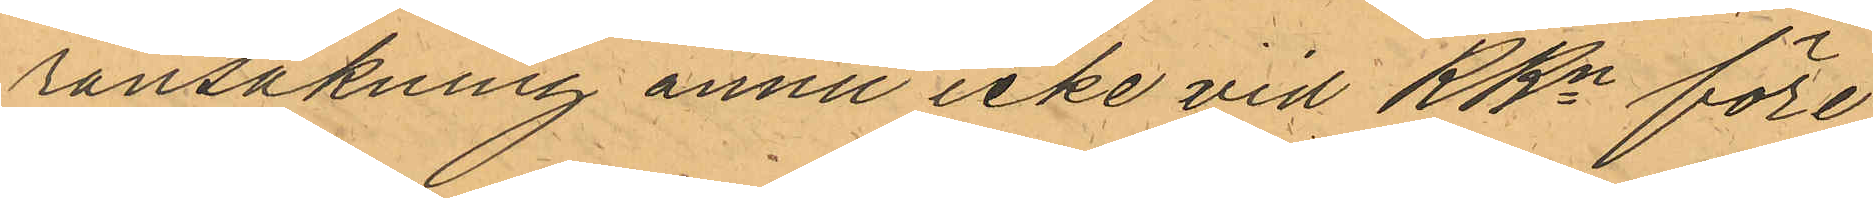ransakning ännu icke vid RRn före¬
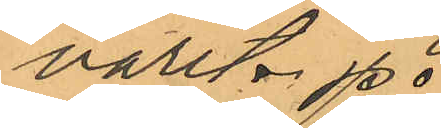varit.
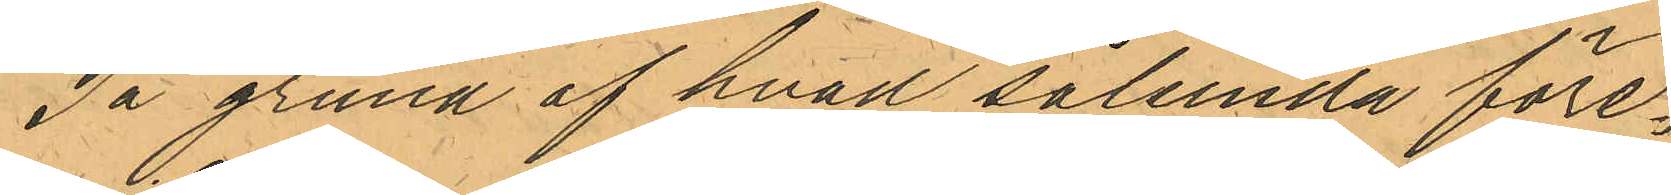På grund af hvad sålunda före¬
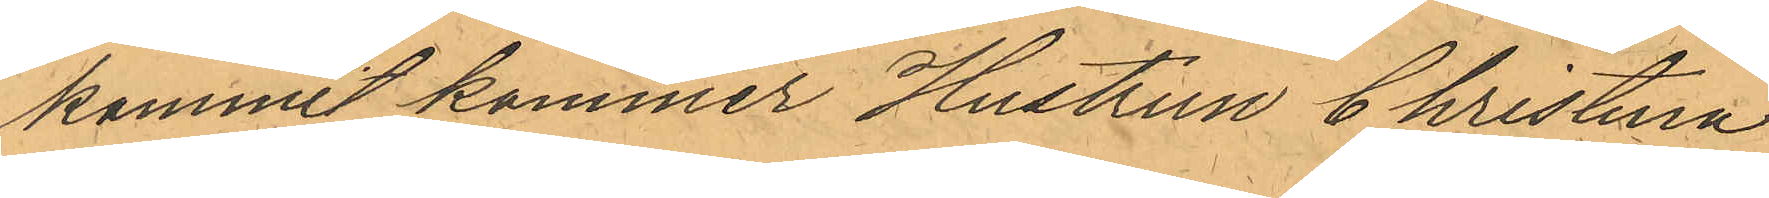kommit kommer Hustrun Christina
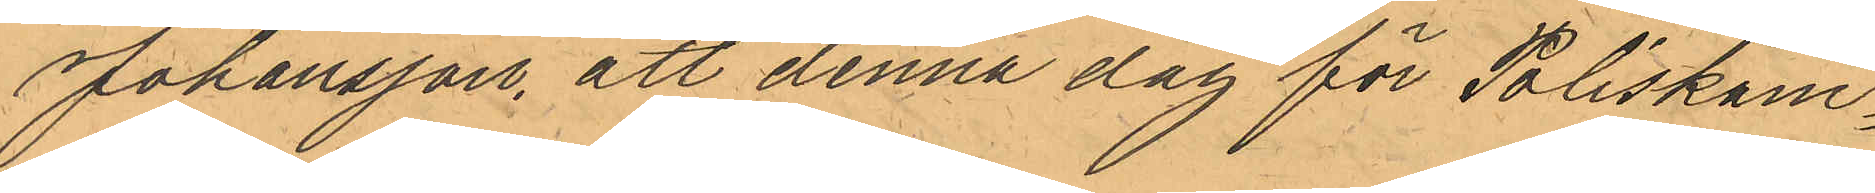Johansson, att denna dag för Poliskam¬
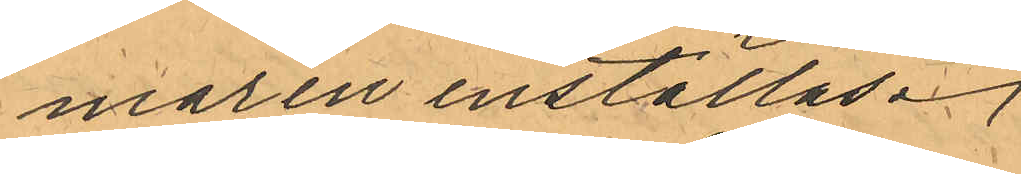maren inställas.
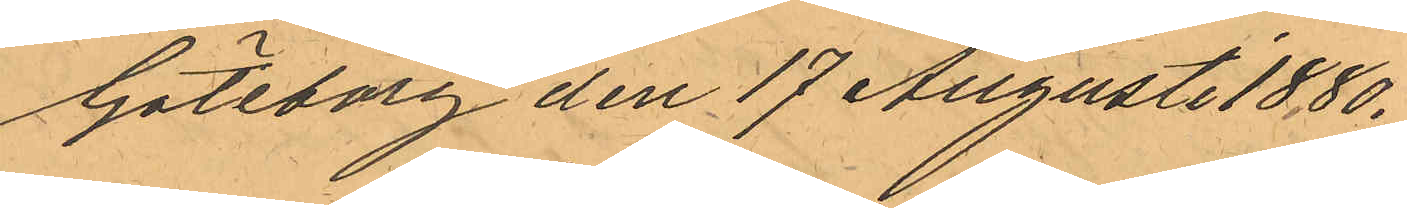Göteborg den 17 Augusti 1880.
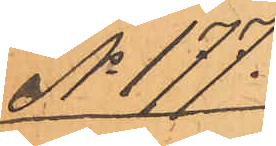No 177.
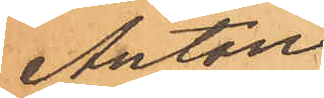Anton
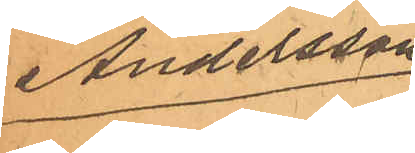Andersson
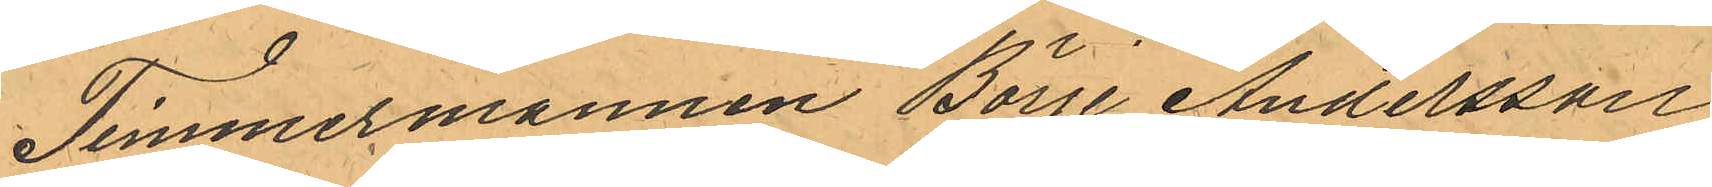Timmermannen Börje Andersson
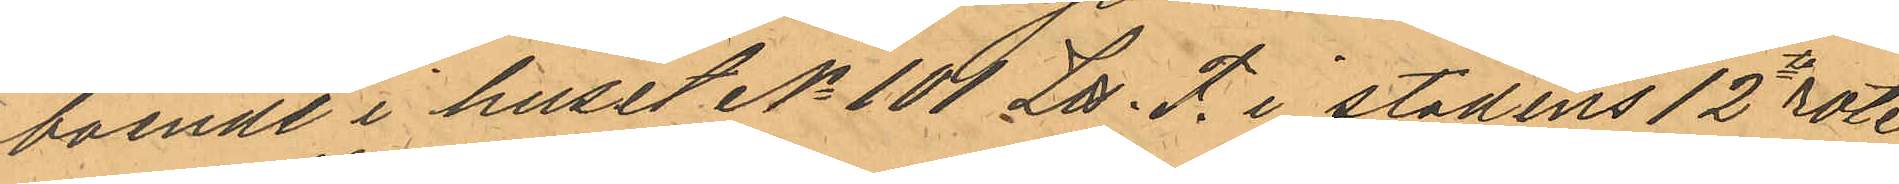boende i huset No 101 Litt. F. i stadens 12te rote
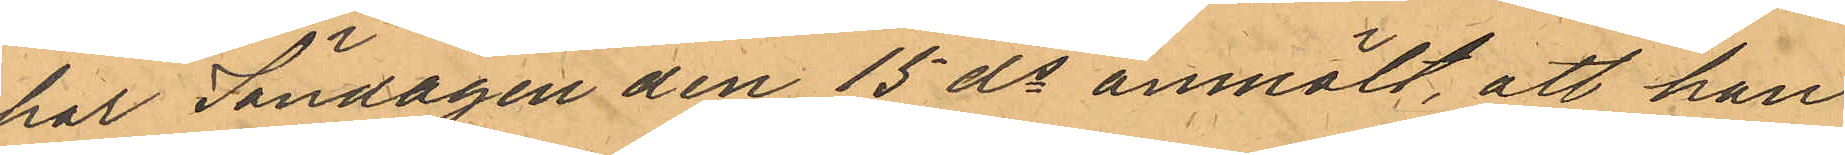har Söndagen den 15 ds anmält, att han
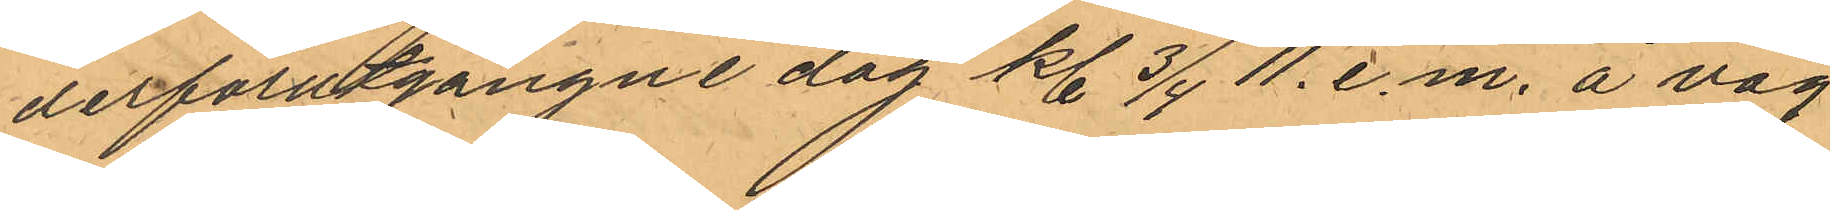derförutgångne dag kl. 3/4 11. e.m. å väg
